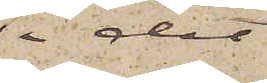i det
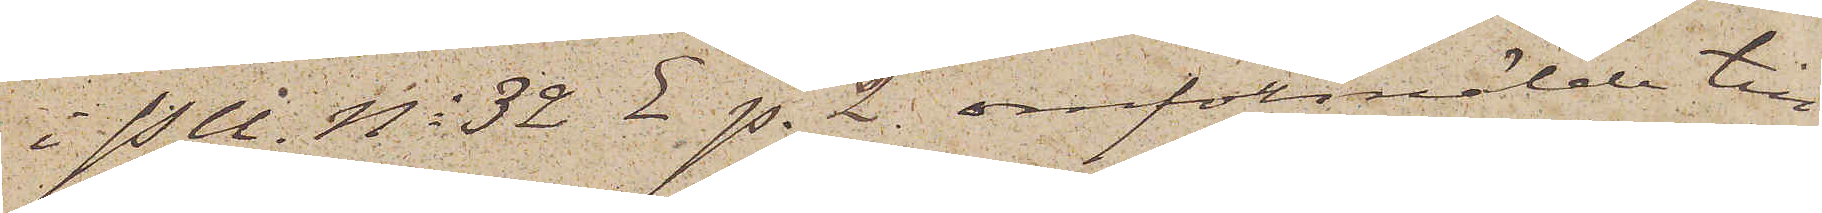i P U. No 32 E. p. 2 omförmälde till¬
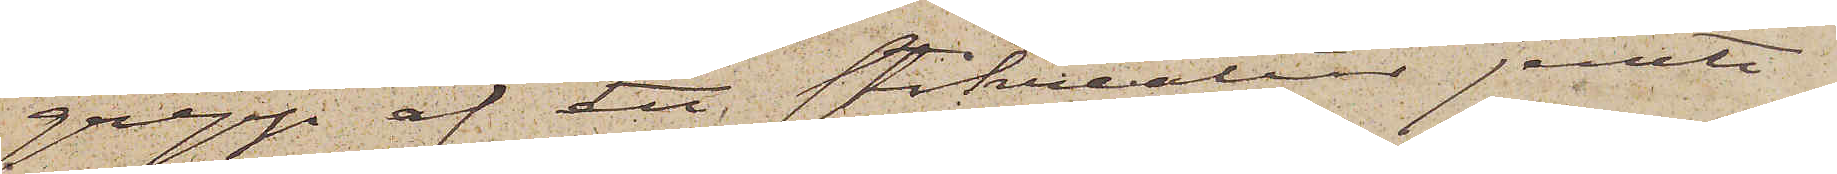grepp af ett stokreatur jemte
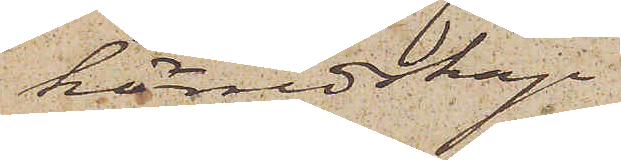körredskap
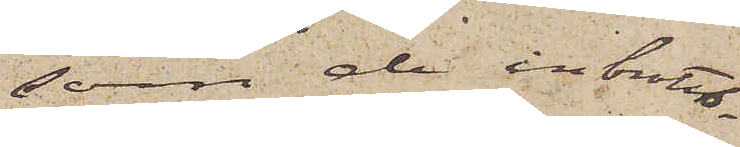som de inbrotts¬
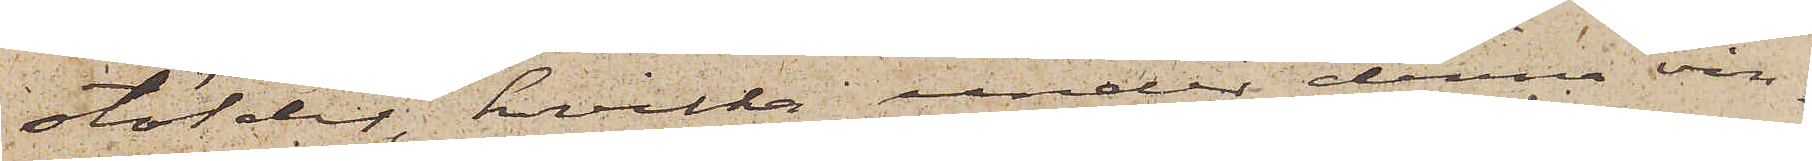stölder, hvilka under denna vin¬
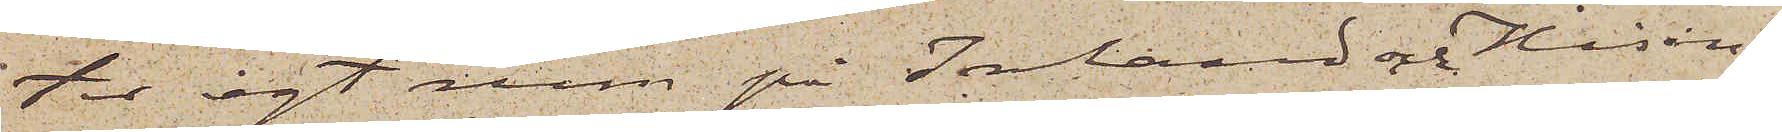ter egt rum på Inland och Hisin¬
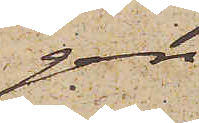gen
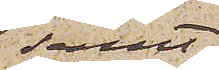samt
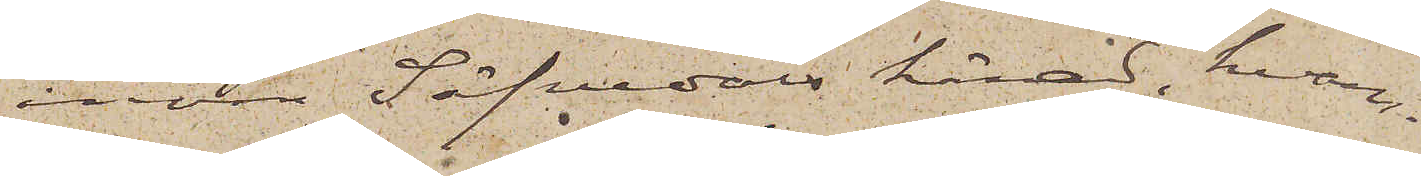inom Säfvedals härad, hvar¬
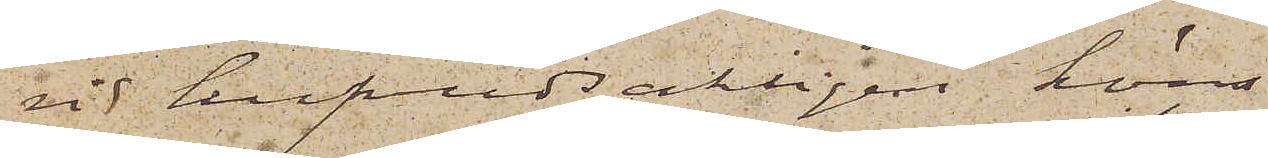vid hufvudsakligen höns
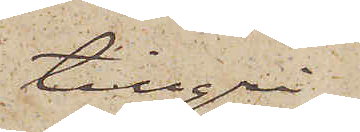tillgri¬
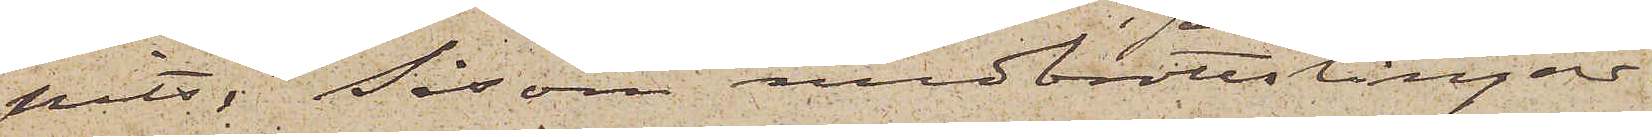pits. Såsom medbrottslingar
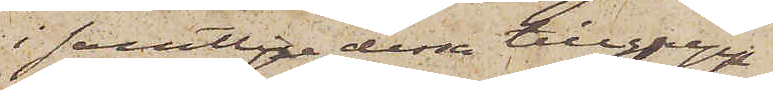i samtlige dessa tillgrepp
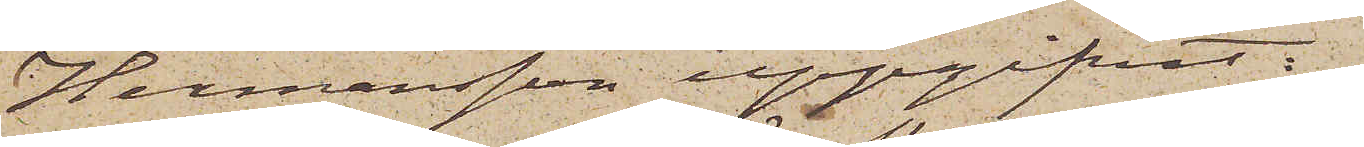Hermansson uppgifvit:
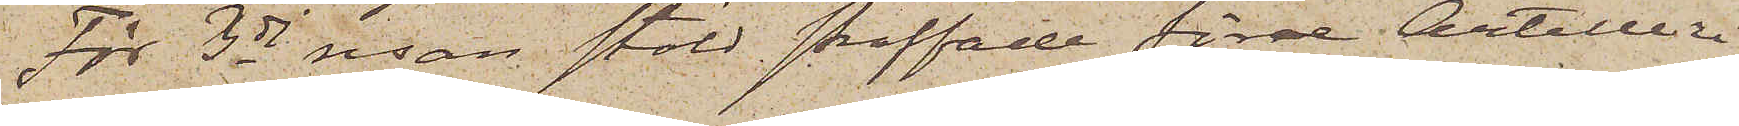För 3dj resan stöld straffade förre Artilleri¬
